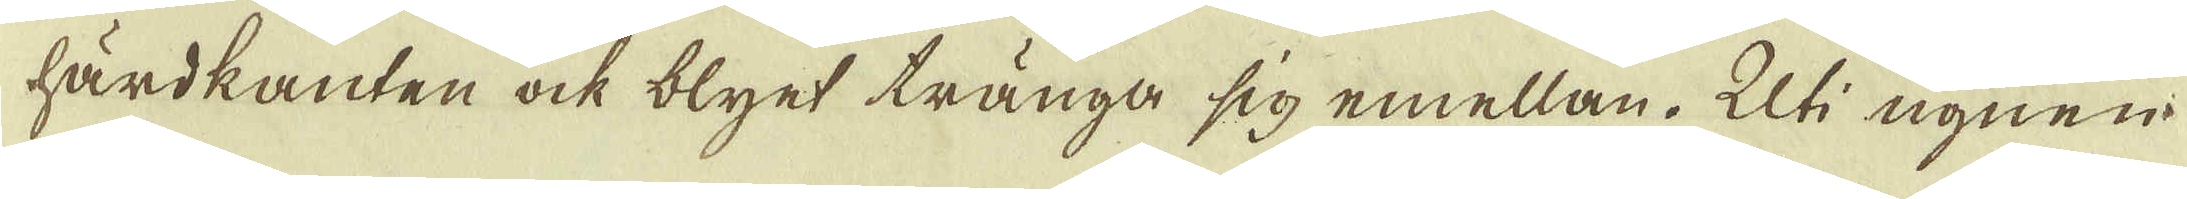härdkanten ock blyet tränga sig emellan. Uti ugnen
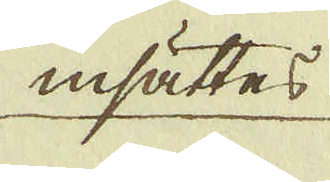insättes
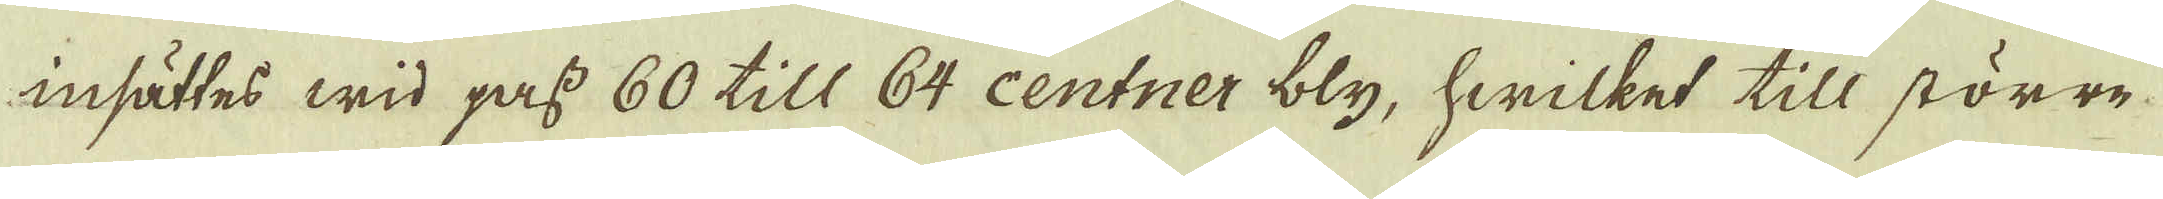insättes wid pass 60 till 64 centner bly, hwilket till större
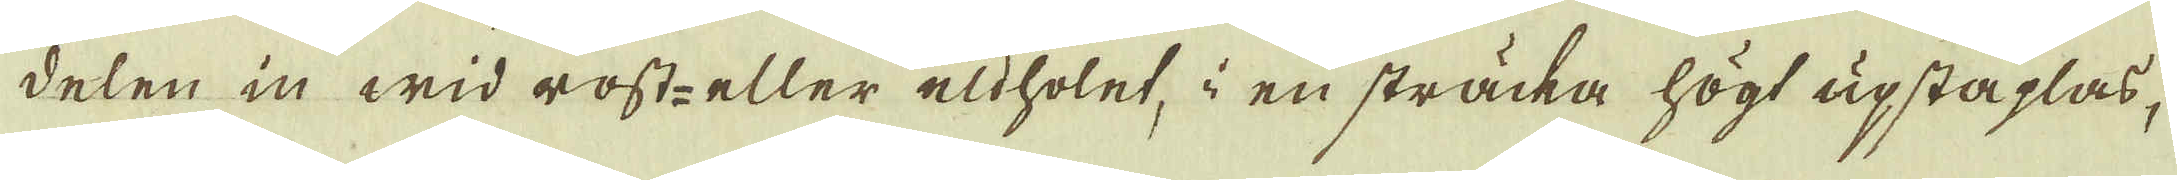delen in wid rost- eller eldholet, i en sträcka högt upstaplas,
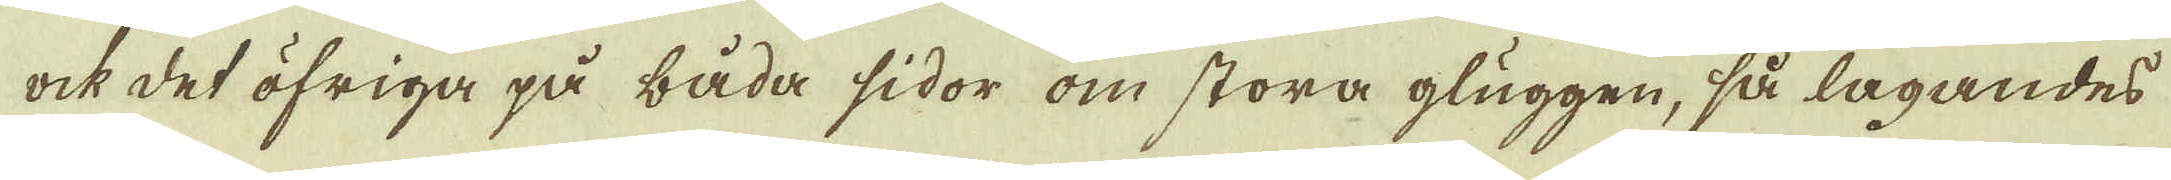ock det öfriga på båda sidor om stora gluggen, så lagandes
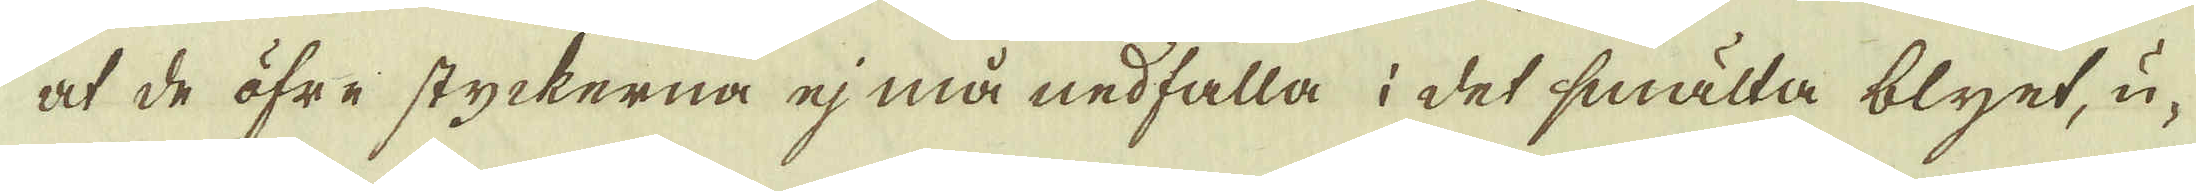at de öfre styckerna ej må nedfalla i det smälta blyet, u-
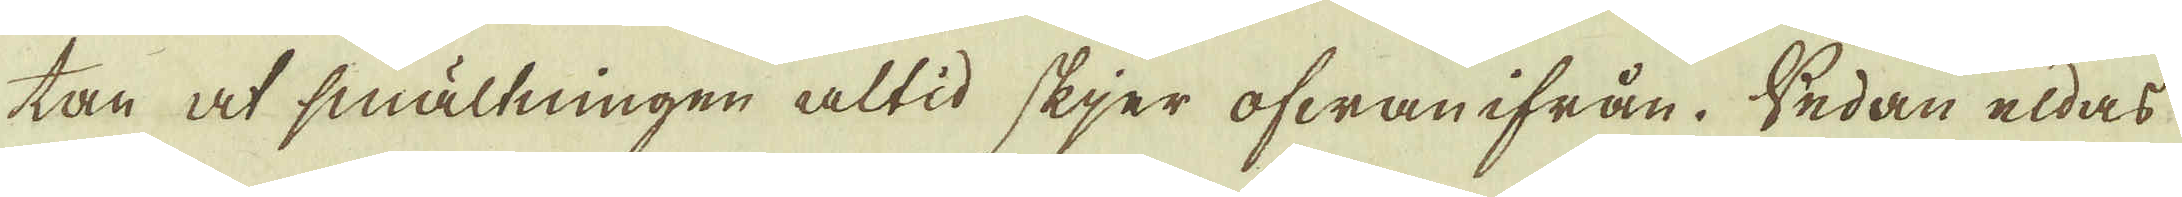tan at smältningen altid skjer ofwanifrån. Sedan eldas
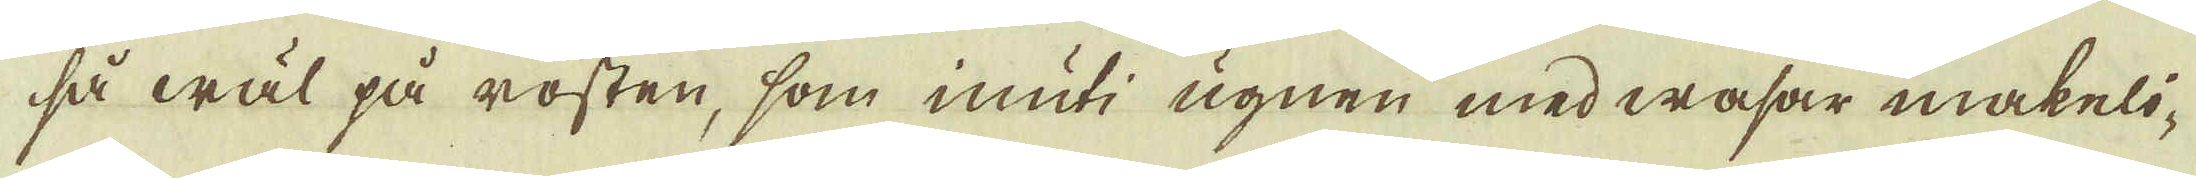så wäl på rosten, som inuti ugnen med wasar makeli-
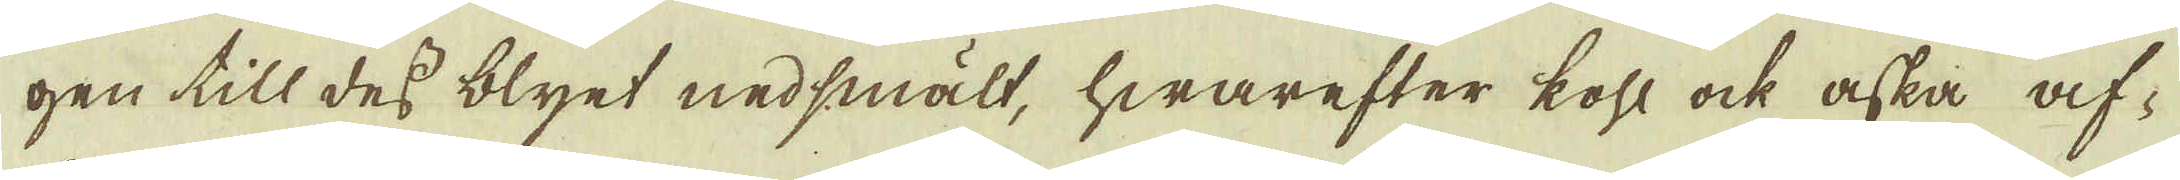gen till dess blyet nedsmält, hwarefter kohl ock aska af-
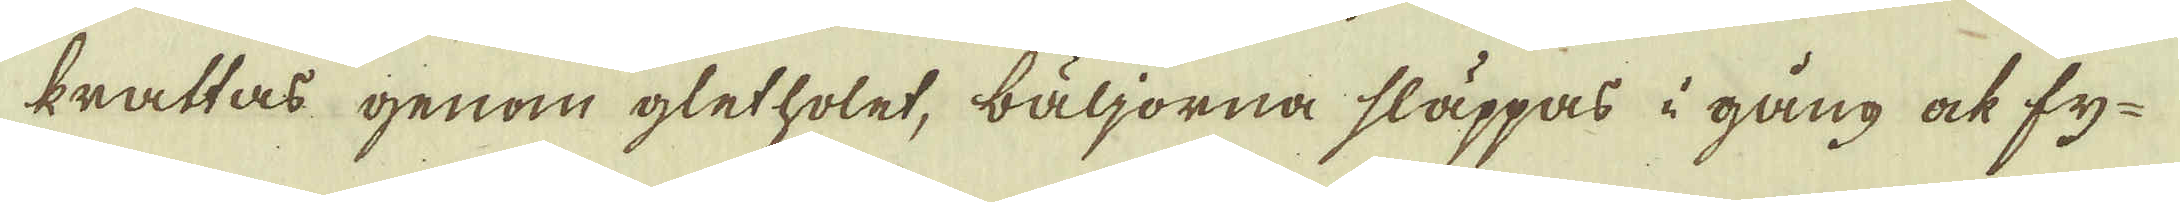krattas genom gletholet, bäljorna släppas i gång ock fy-
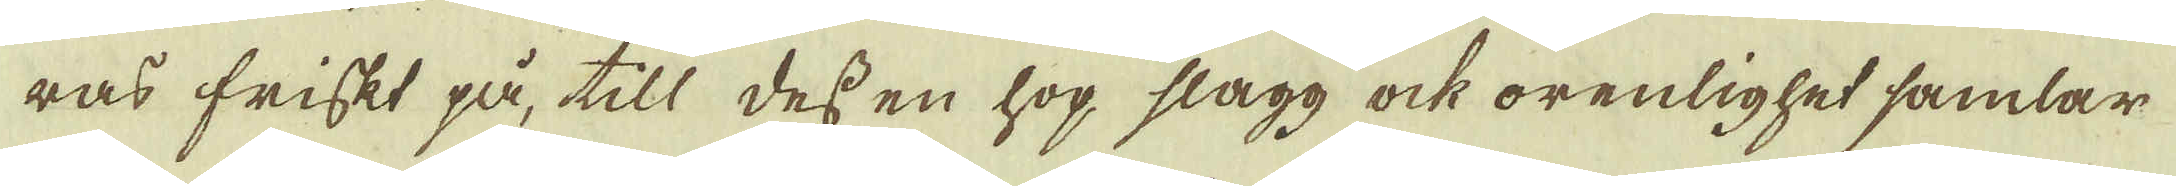ras friskt på, till dess en hop slagg ock orenlighet samlar
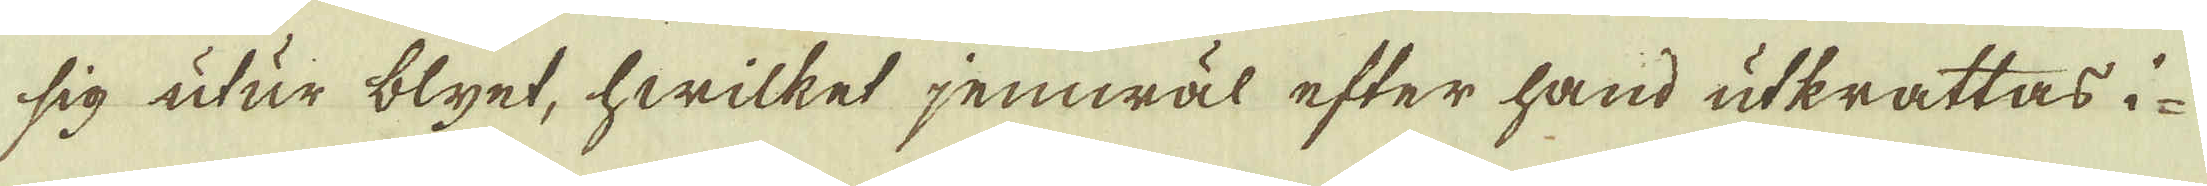sig utur blyet, hwilket jemwäl efter hand utkrattas i-
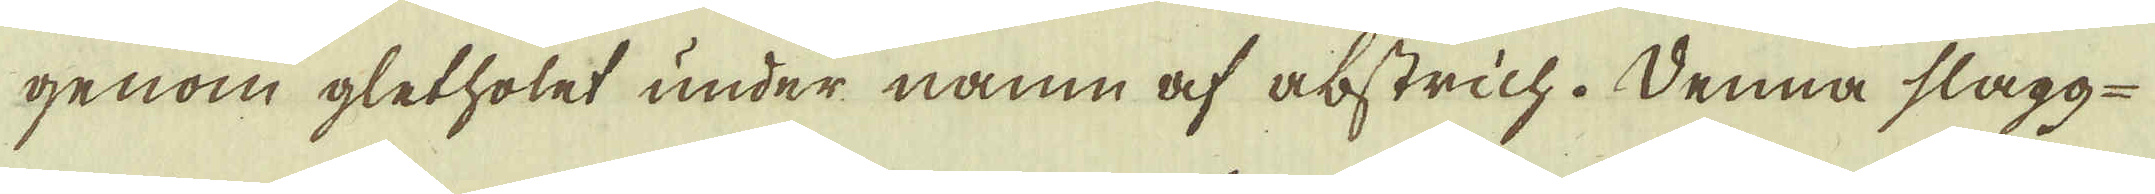genom gletholet under namn af abstrich. Denna slagg-
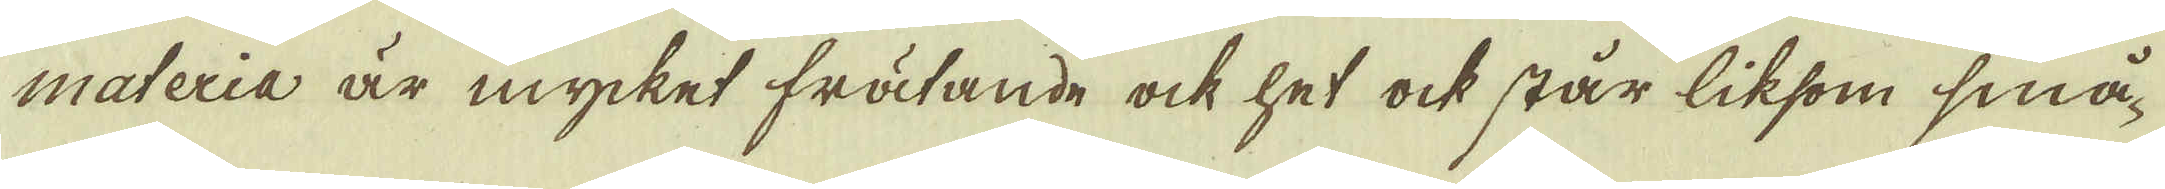materia är mycket frätande ock het ock står liksom små-
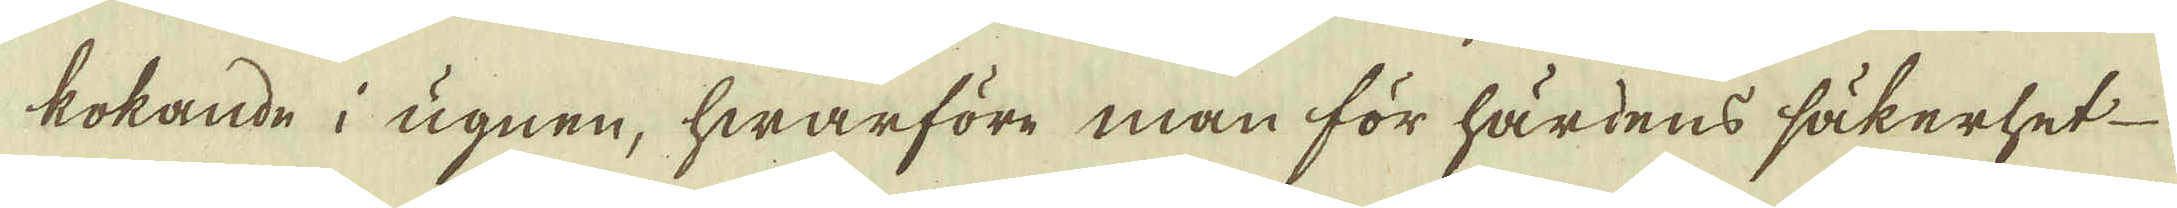kokande i ugnen, hwarföre man för härdens säkerhet
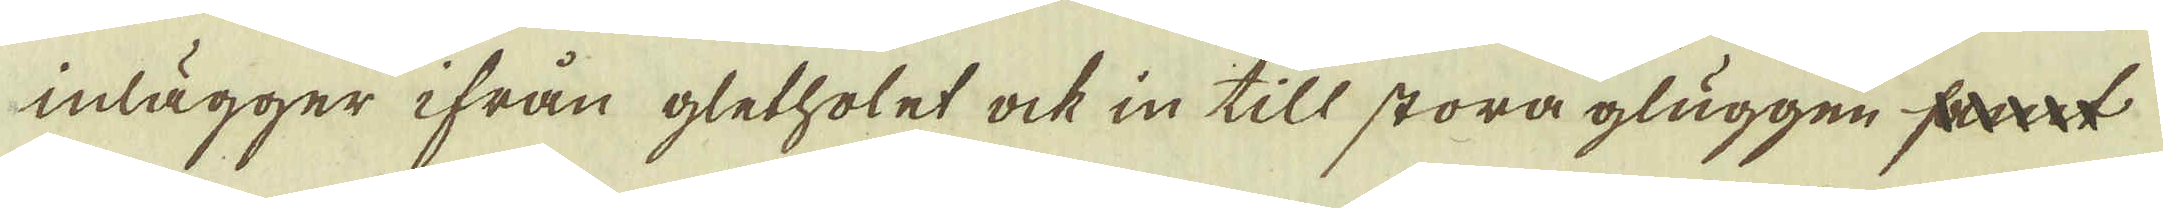inlägger ifrån gletholet ock in till stora gluggen samt
